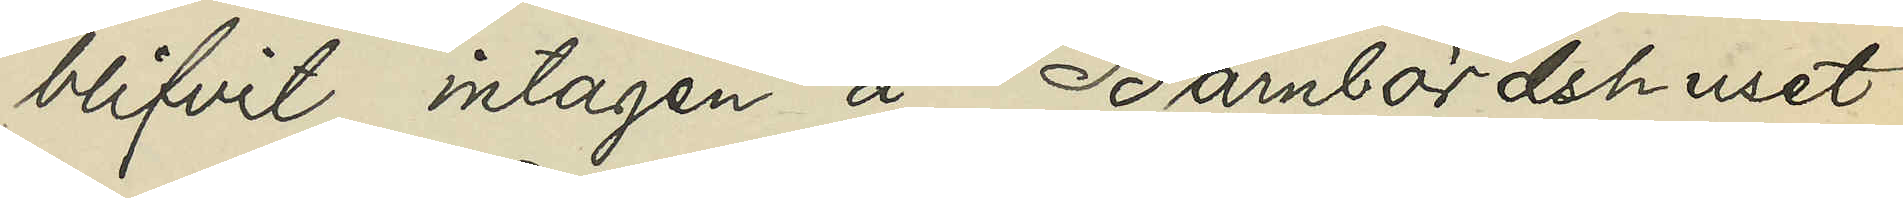blifvit intagen å Barnbördshuset;
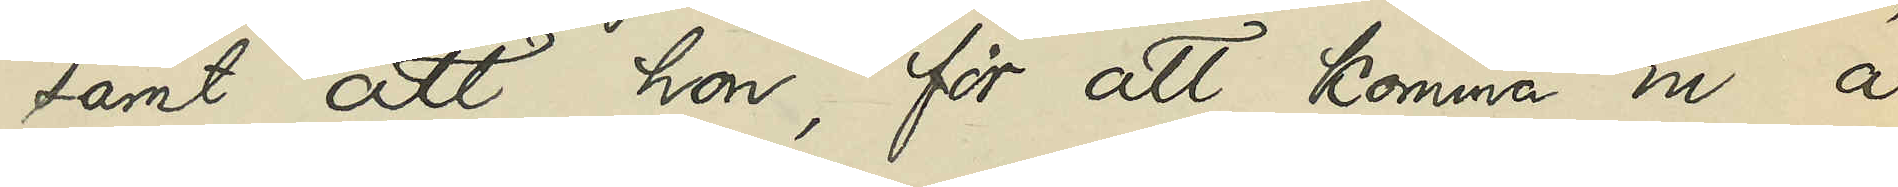samt att hon, för att komma in å
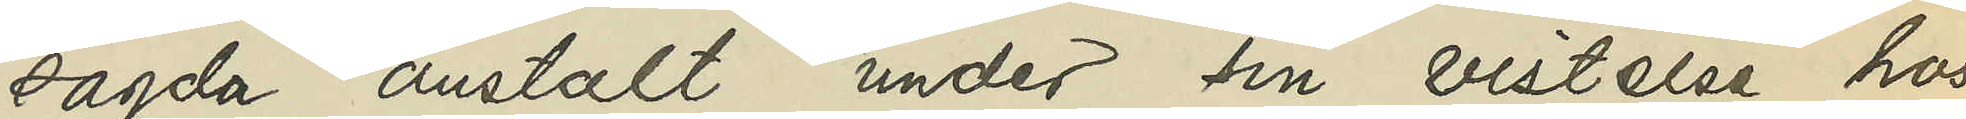sagda anstalt under sin vistelse hos
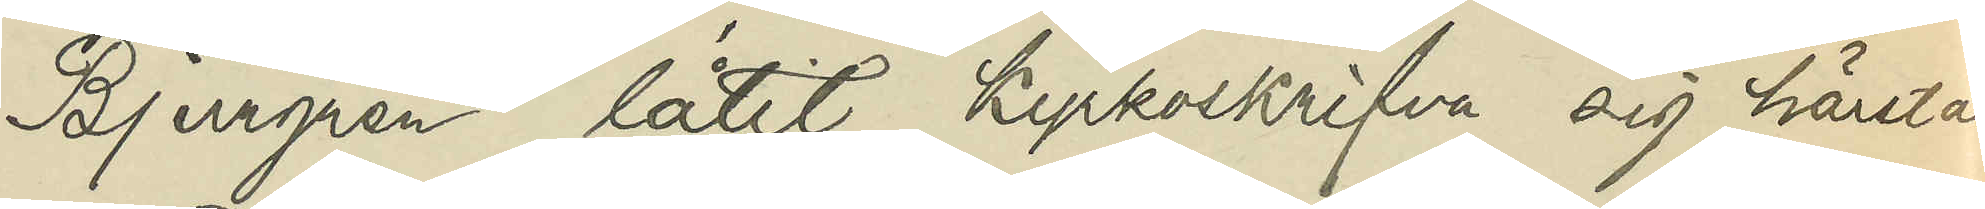Bjurgren låtit kyrkoskrifva sig härstädes.
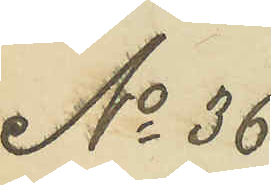No 36
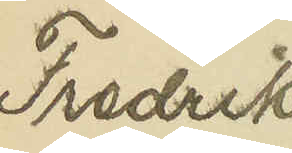Fredrik
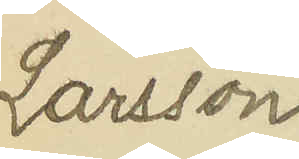Larsson
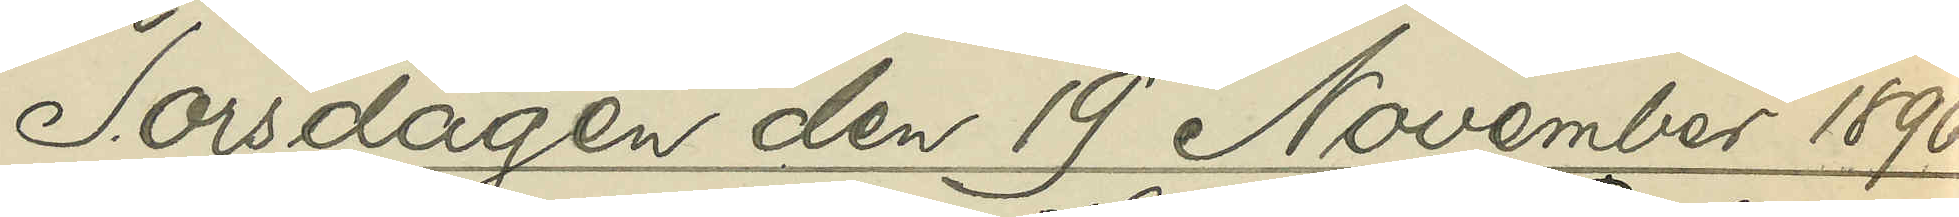Torsdagen den 19 November 1896
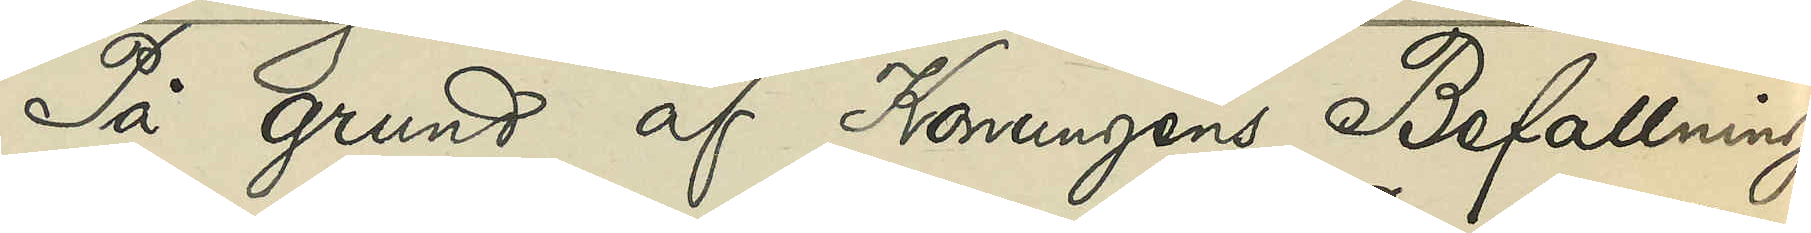På grund af Konungens Befallnings¬
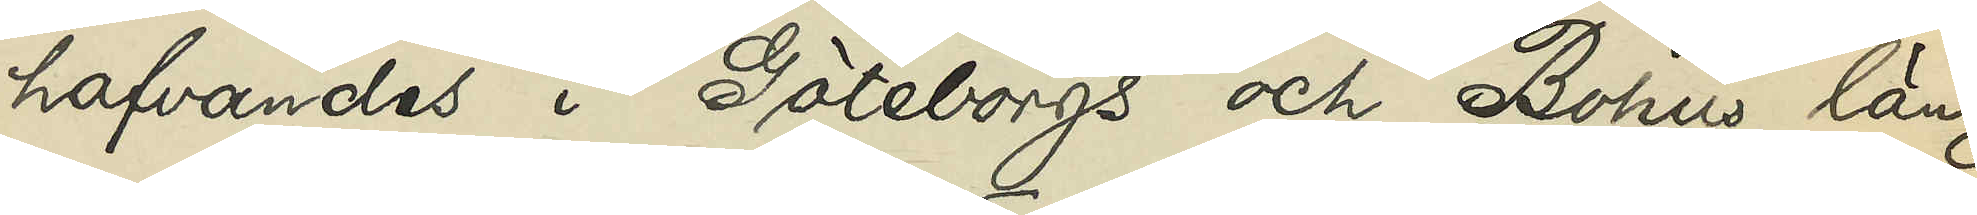hafvandes i Göteborgs och Bohus län
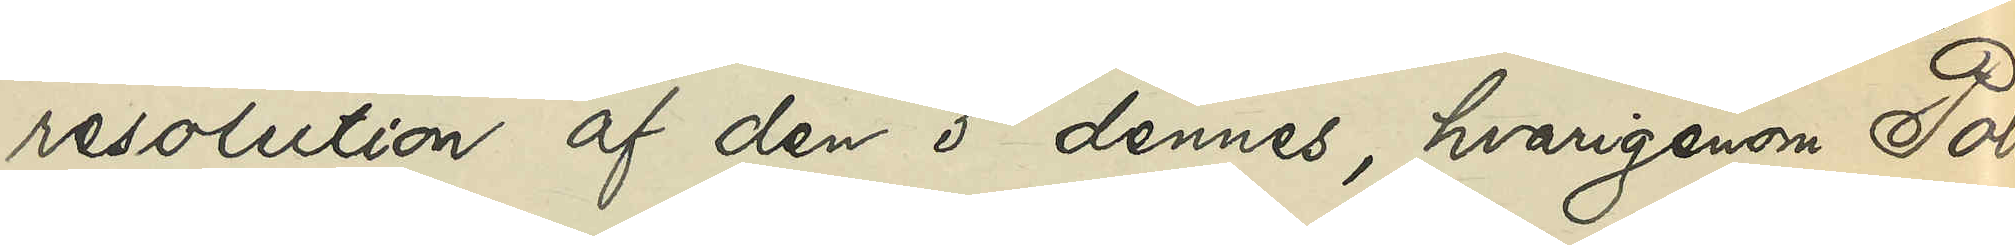resolution af den 5 dennes, hvarigenom Polis¬
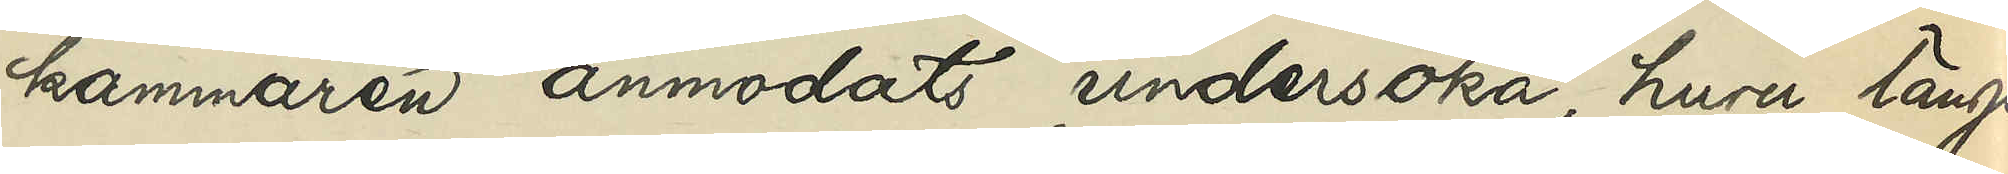kammaren anmodats undersöka, huru länge
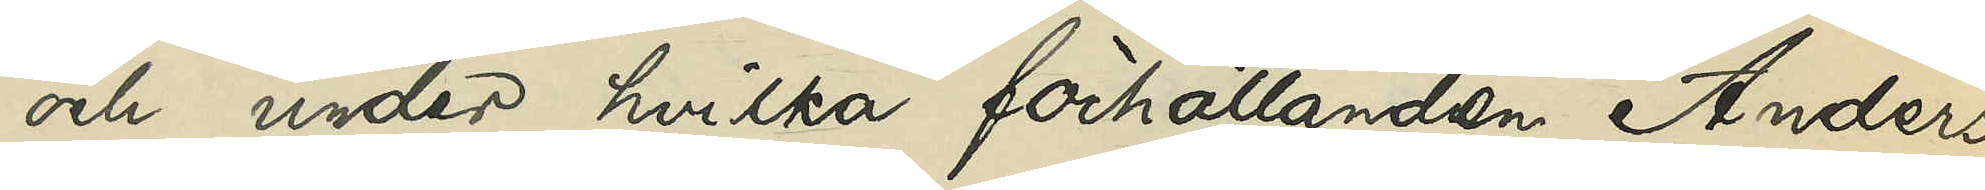och under hvilka förhållanden Anders
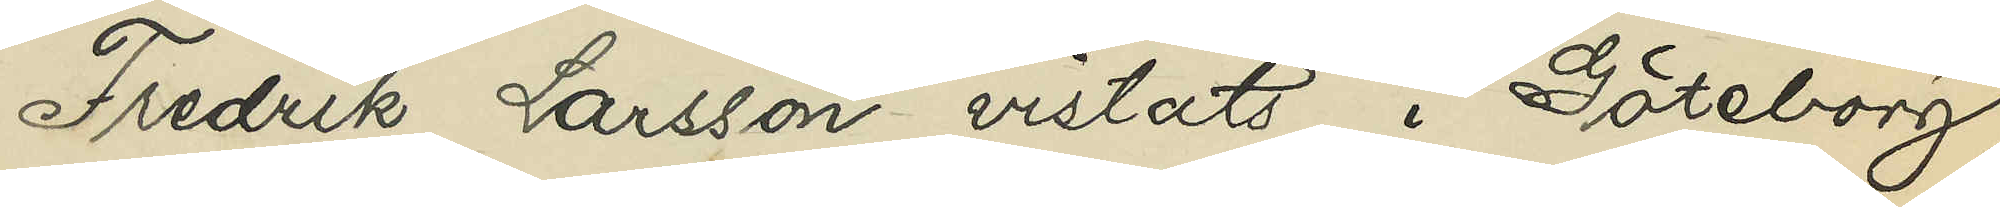Fredrik Larsson vistats i Göteborg,
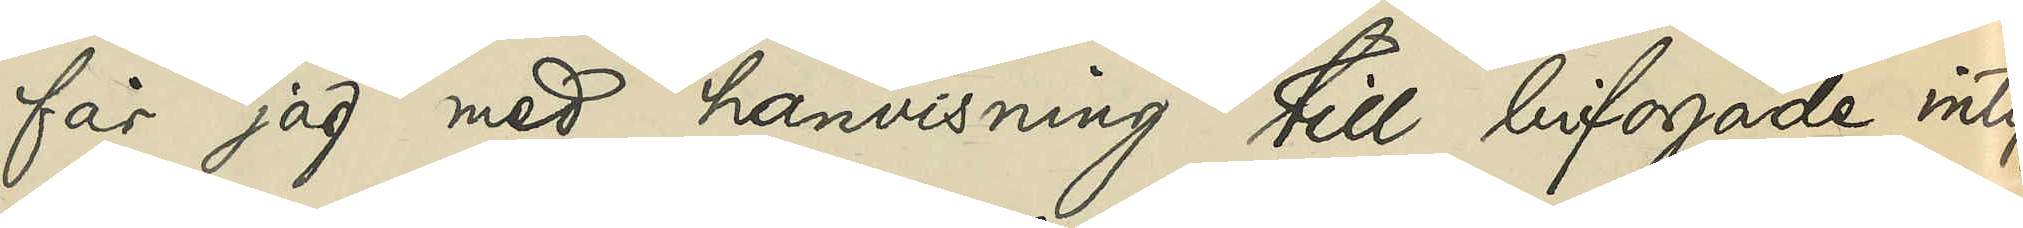får jag med hänvisning till bifogade intyg
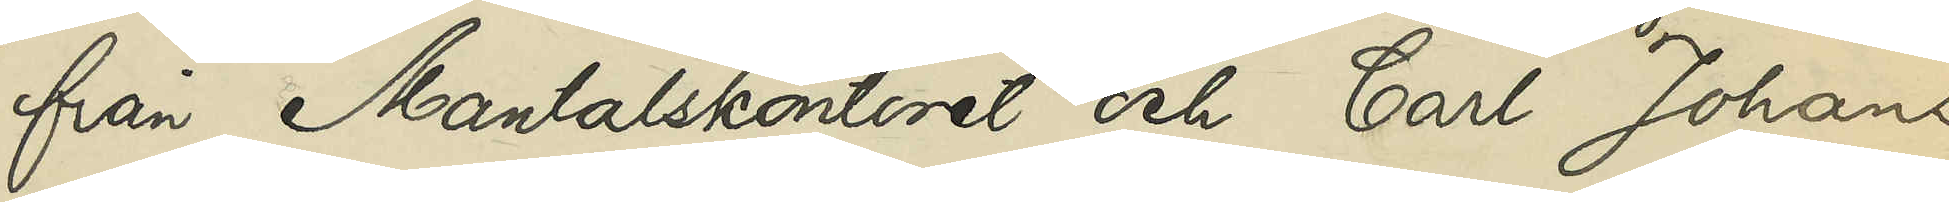från Mantalskontoret och Carl Johans
